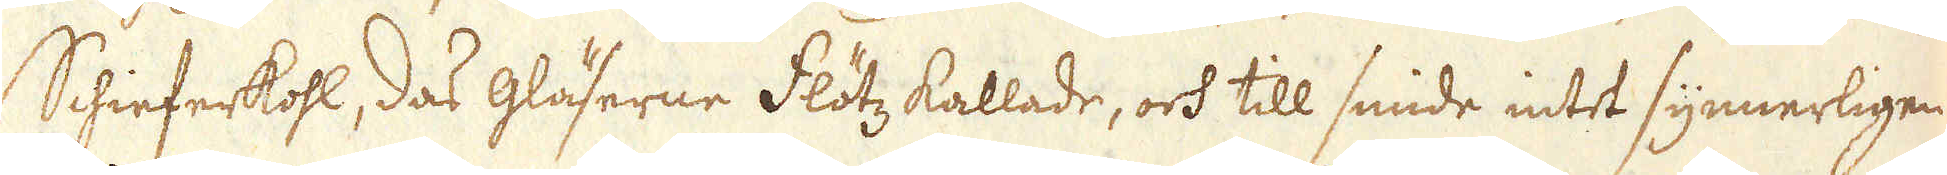Schieferkohl, das gläserne Flötz kallade, och till smide intet synnerligen
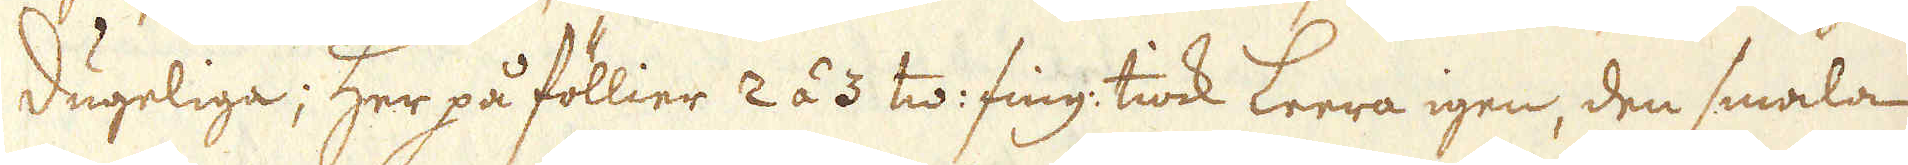dugeliga; Her på föllier 2 á 3 tw: fing: tiock Leera igen, den smala
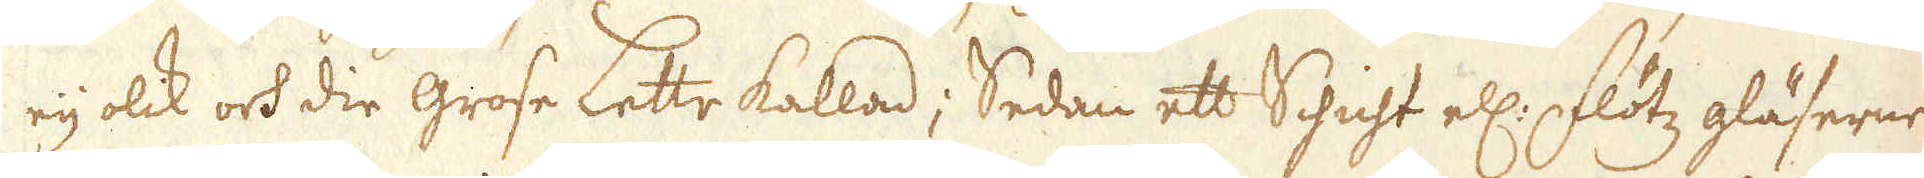eij olik och die grose Lette kallad; Sedan ett Schicht ell: Flötz gläserne
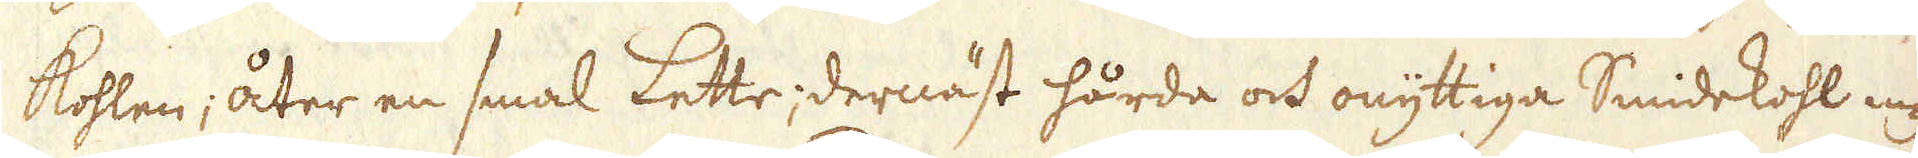kohlen; åter en smal Lette; dernäst hårda och onyttiga Smidekohl med
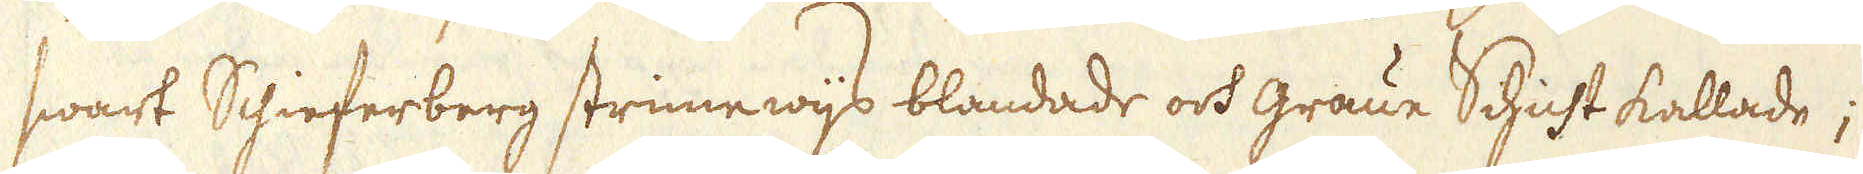swart Schieferberg strimewijs blandade och graue Schicht kallade;
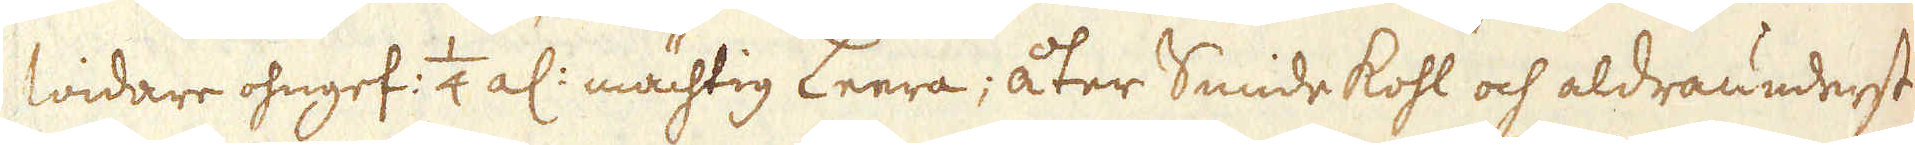widare ohngef: 1/4 al: mächtig Leera; åter Smide kohl och aldraunderst
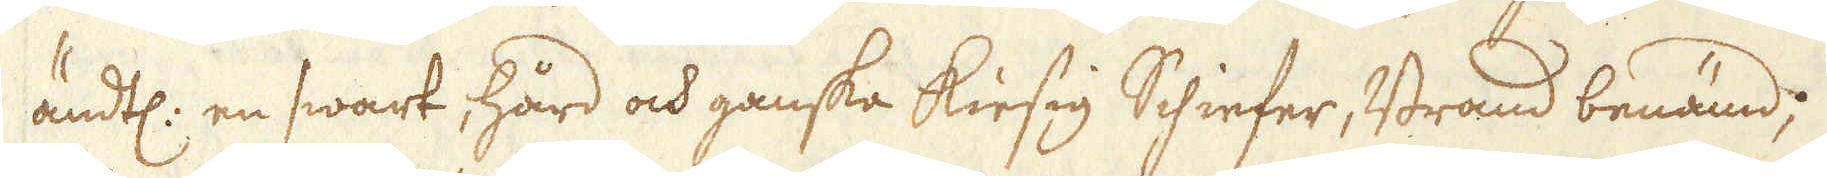ändtl: en swart, hård och ganska kiesig Schiefer, Brand benämd,
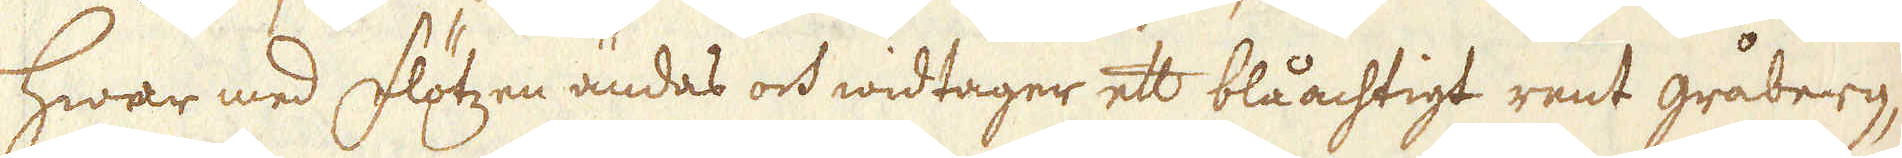hwar med Flötzen ändas och widtager ett blåachtigt rent gråberg,
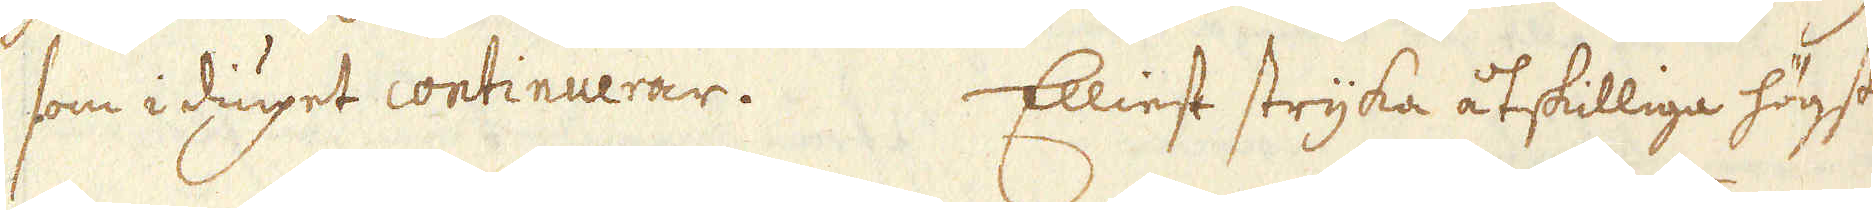som i diupet continuerar. Elliest stryka åtskilliga högst
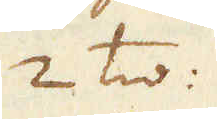2 tw:
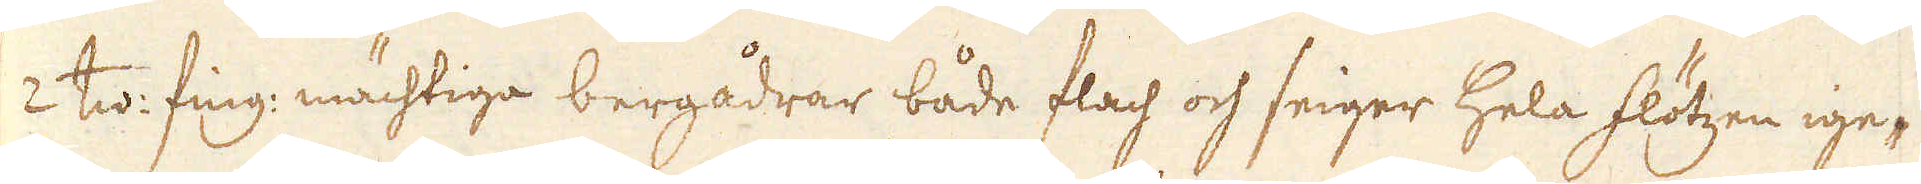2 tw: fing: mächtiga bergådrar både flach och seiger hela flötzen ige-
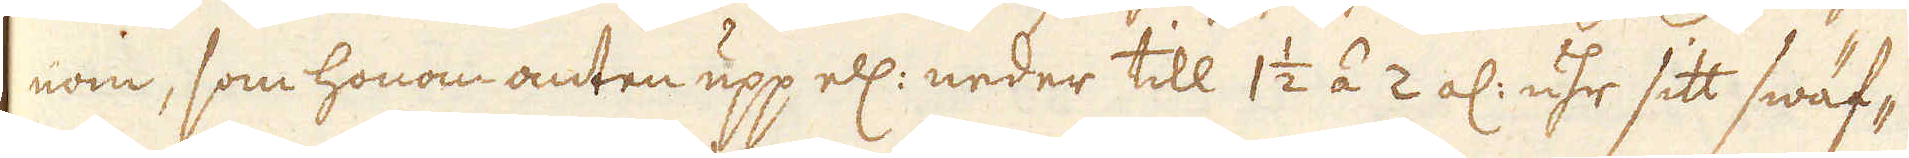nom, som honom anten upp ell: neder till 1 1/2 á 2 al: uhr sitt swäf-
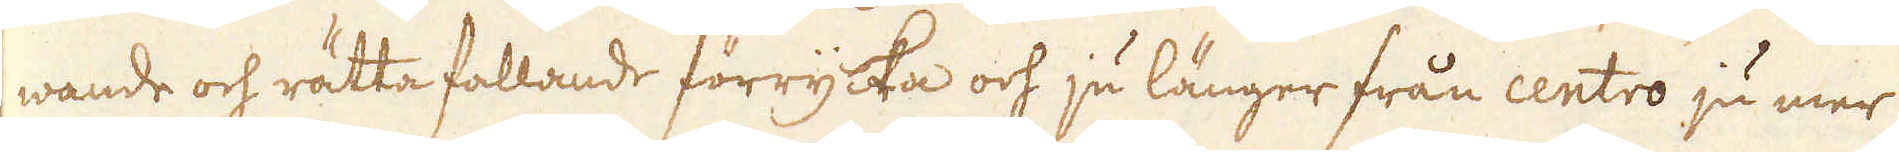wande och rätta fallande förrycka och ju länger från centro ju mer
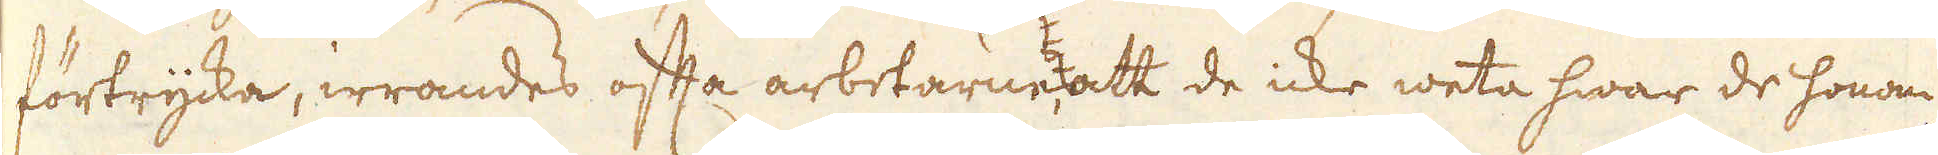förtrycka, irrandes ofta arbetarne, att de icke weta hwar de honom
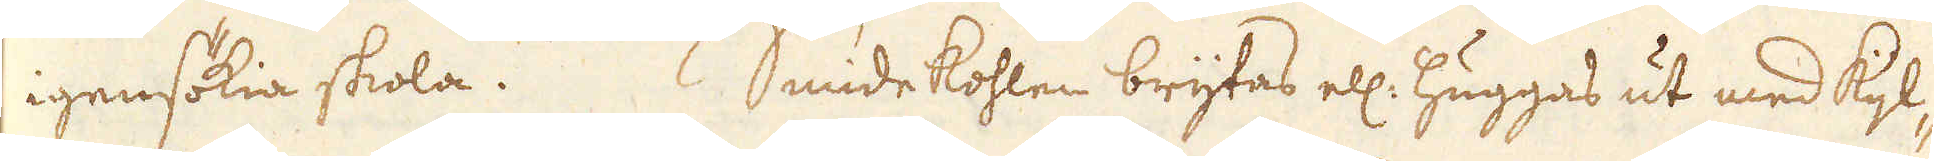igensökia skola. Smidekohlen brytas ell: huggas ut med Kijl-
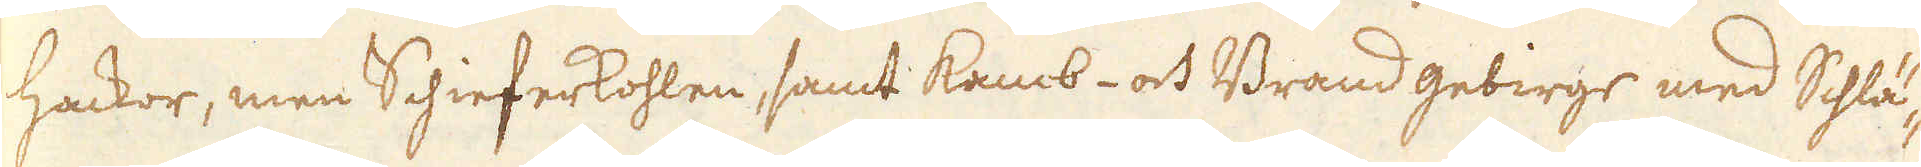hackor, men Schieferkohlen, samt Kamb- och Brand gebirge med Schlä-
